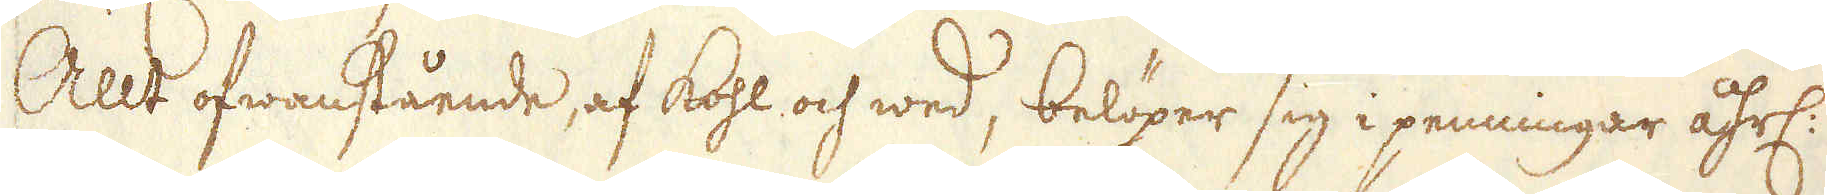Allt ofwanstående af kohl och wed, belöper sig i penningar åhrl:
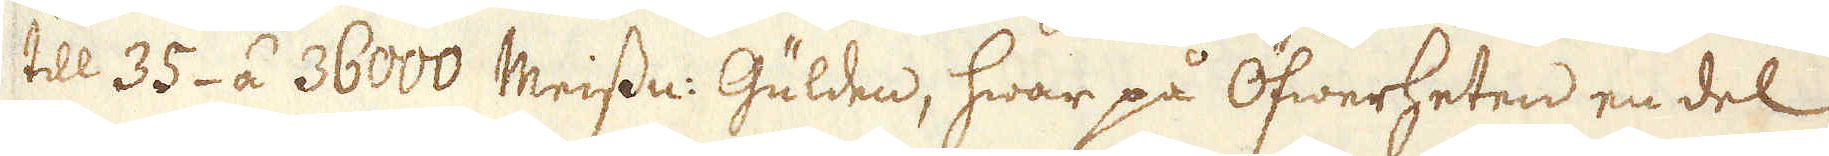till 35- á 36000 Meissn: Gulden, hwar på Öfwerheten en del
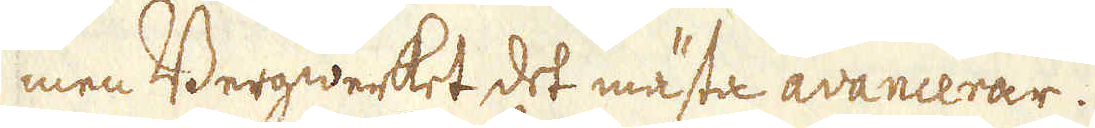men Bergwerket det mästa avancerar.
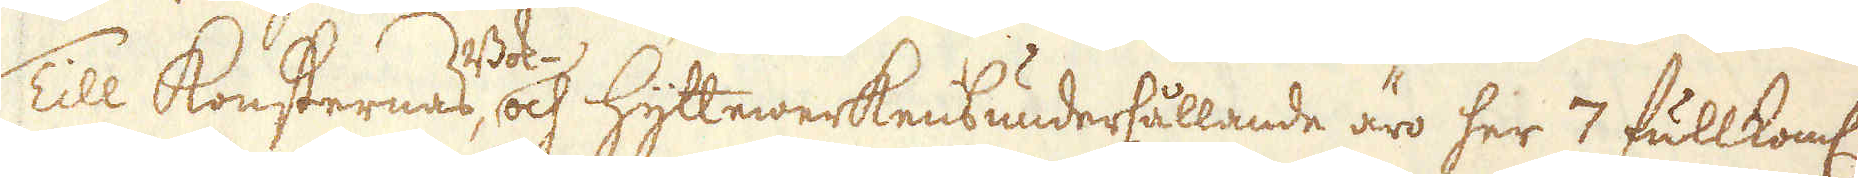Till Konsternas, Bok- och Hyttewerkens undersållande äro her 7 fullkoml:
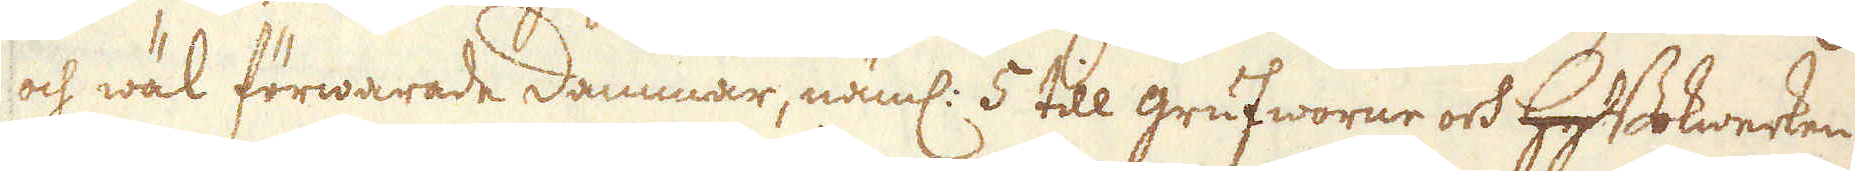och wäl förwarade dammar, näml: 5 till grufworne och HytBokwerken
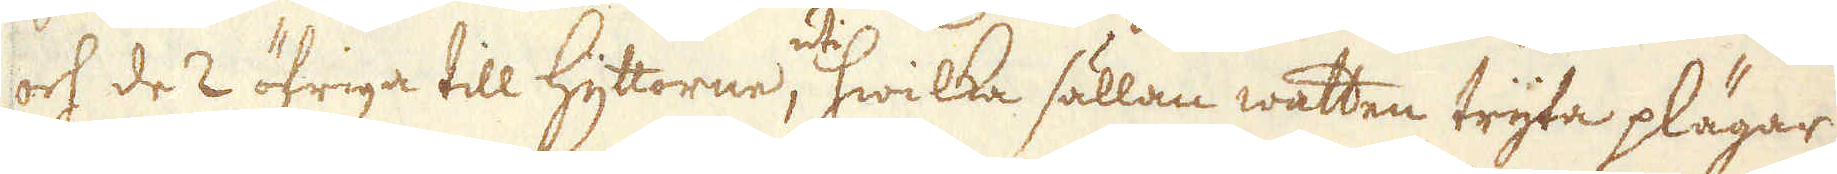och de 2 öfriga till Hyttorne, uti hwilka sällan watten tryta plägar
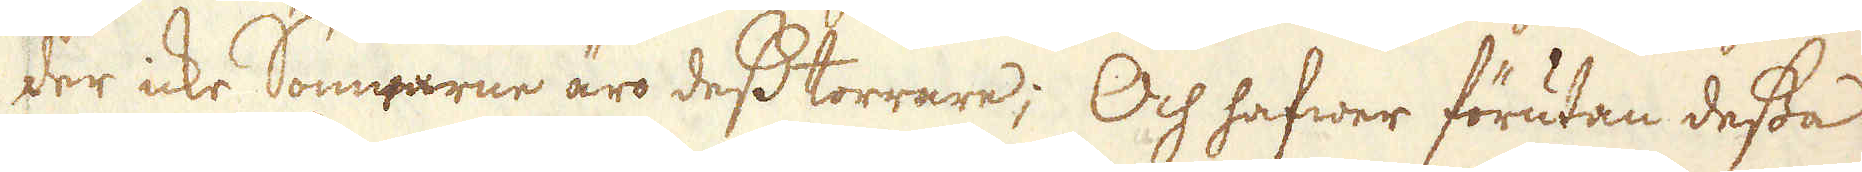der icke Somrarne äro dess torrare; Och hafwer förutan dessa
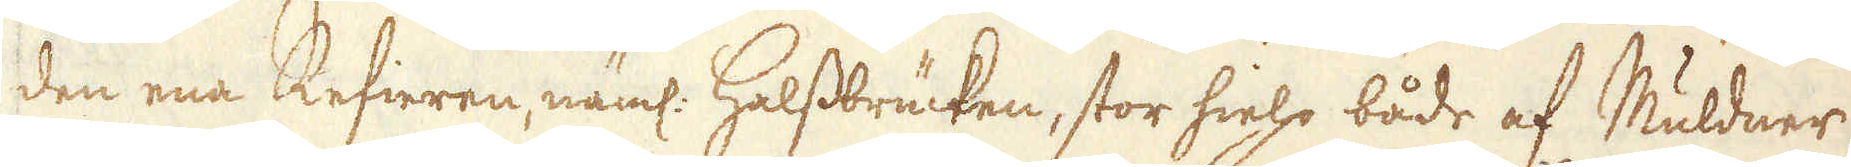den ena Refieren, näml: Halssbrücken, stor hielp både af Muldner
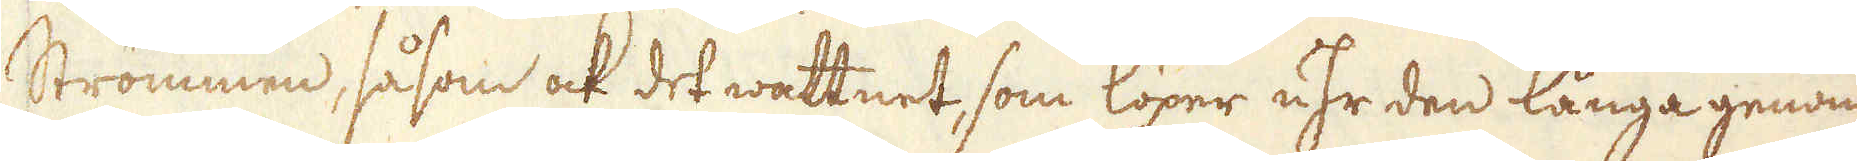Strömmen, såsom ock det wattnet, som löper uhr den långa genom
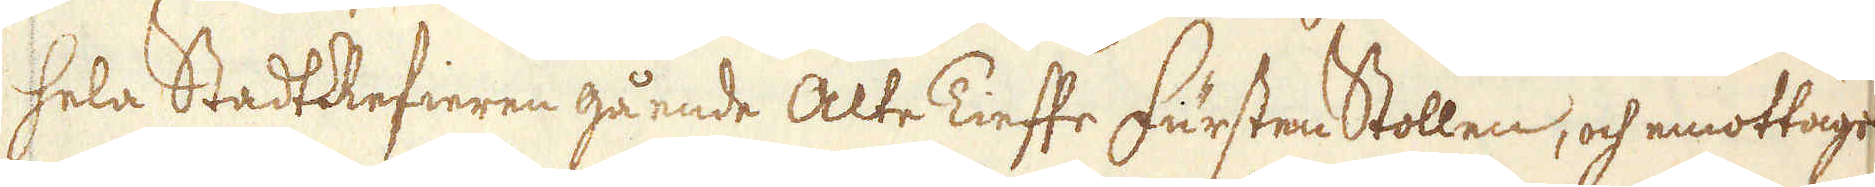hela StadtRefieren gående Alte Tieffe Fursten Stollen, och emottages
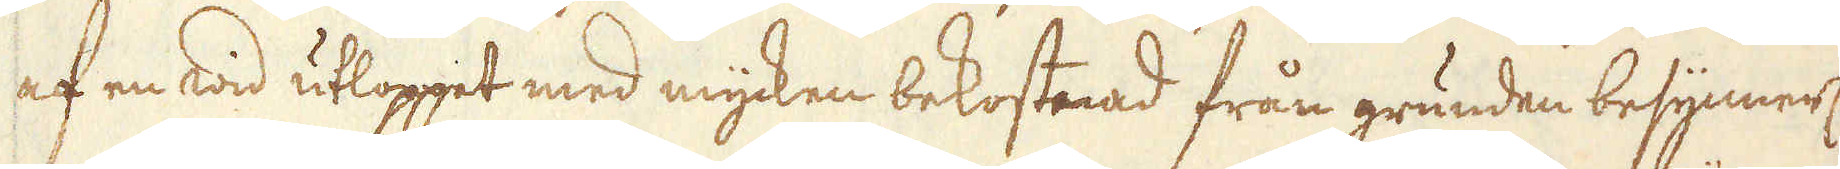af en wid utloppet med mycken bekostnad från grunden besynnerl:
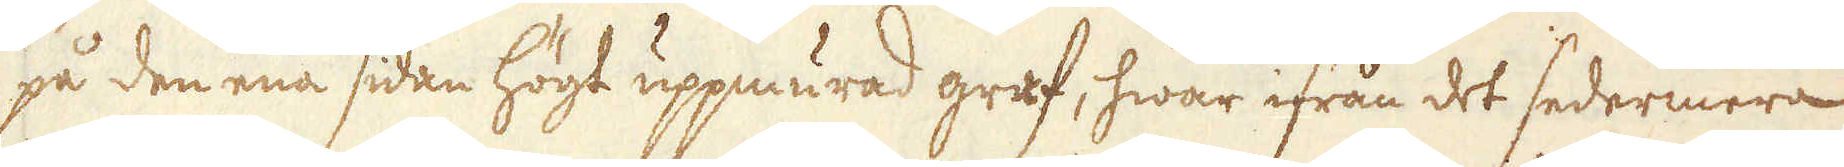på den ena sidan högt uppmurad graf, hwar ifrån det sedermera
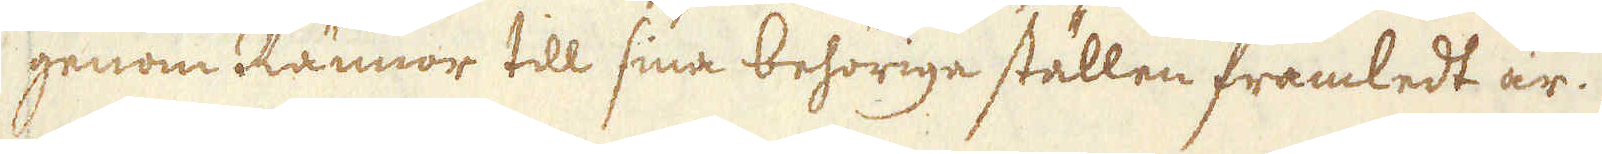genom Rännor till sina behörige ställen framledt är.
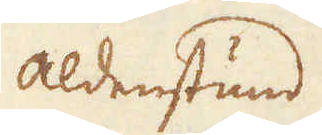Aldenstund
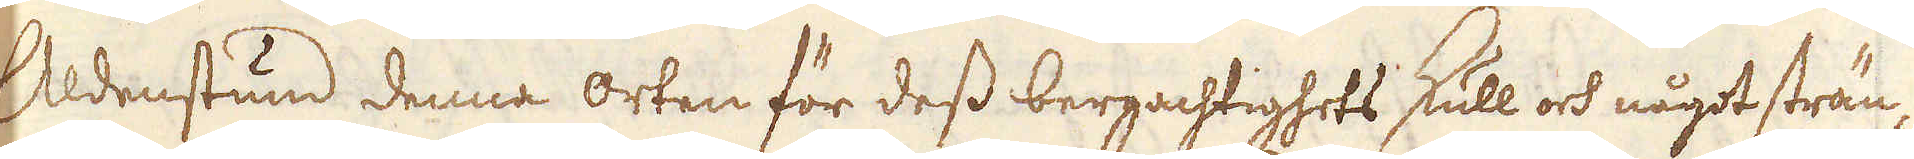Aldenstund denna orten för dess bergachtighets skull och något strän-
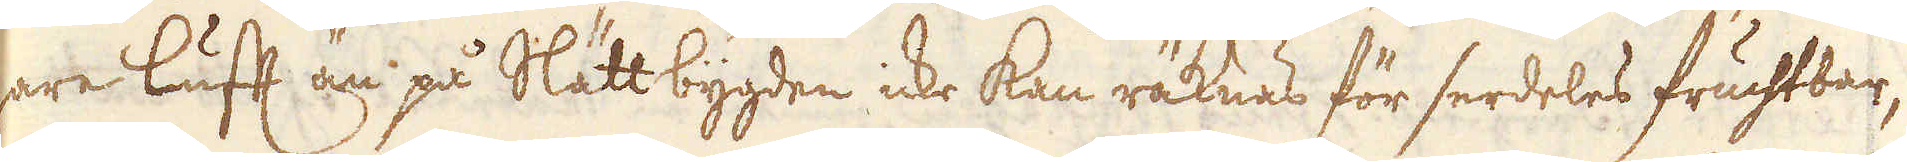gare luft än på Slätt bygden icke kan räknas för serdeles fruchtbar,
